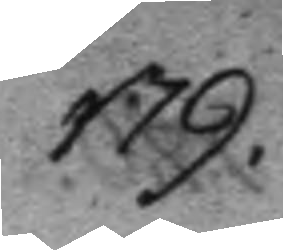179.
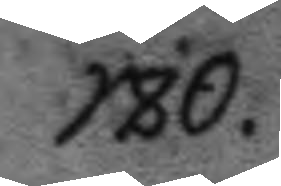180.
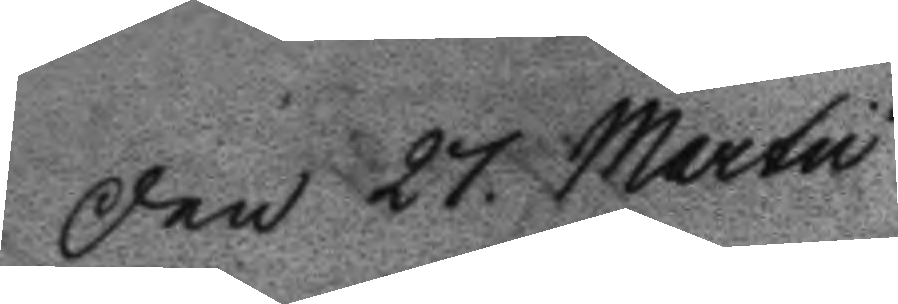Den 27 Martu
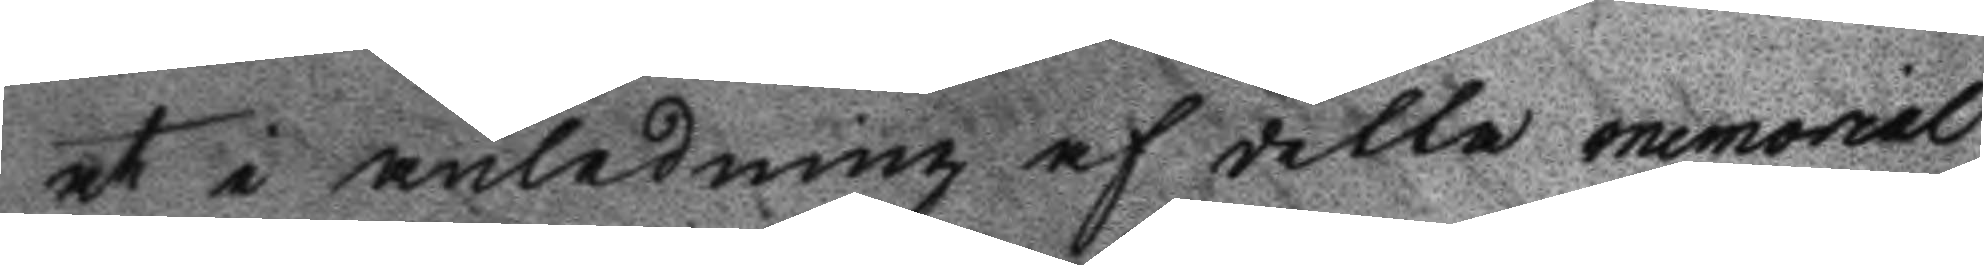at i anledning af detta memorial
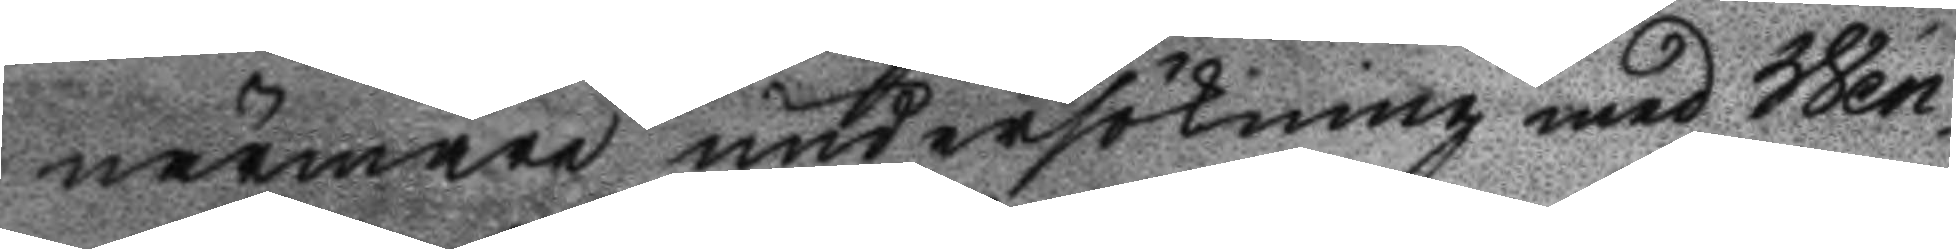närmare undersökning med Wen¬
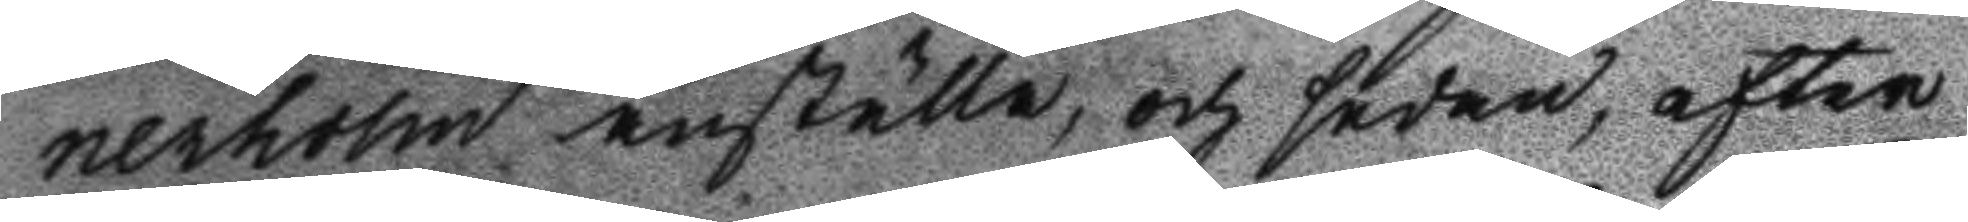nerholm anställa, och sedan, efter
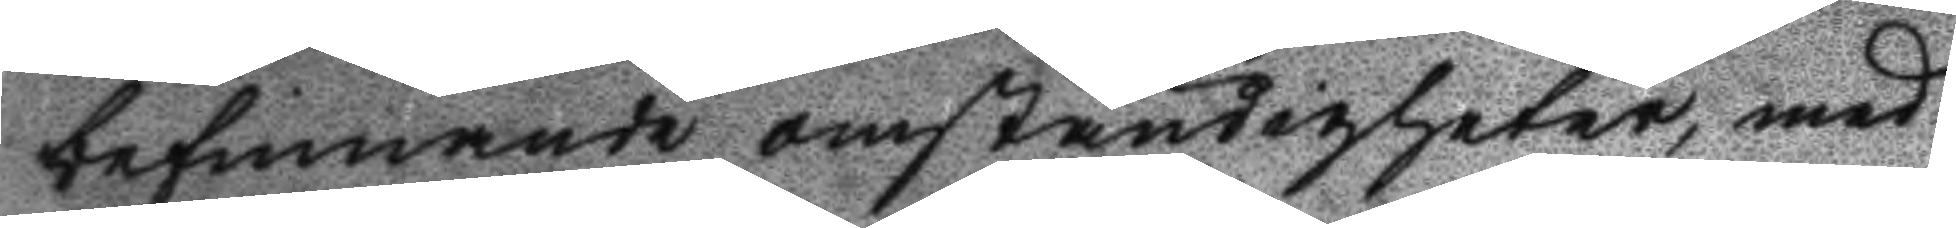befinnande omständigheter, med
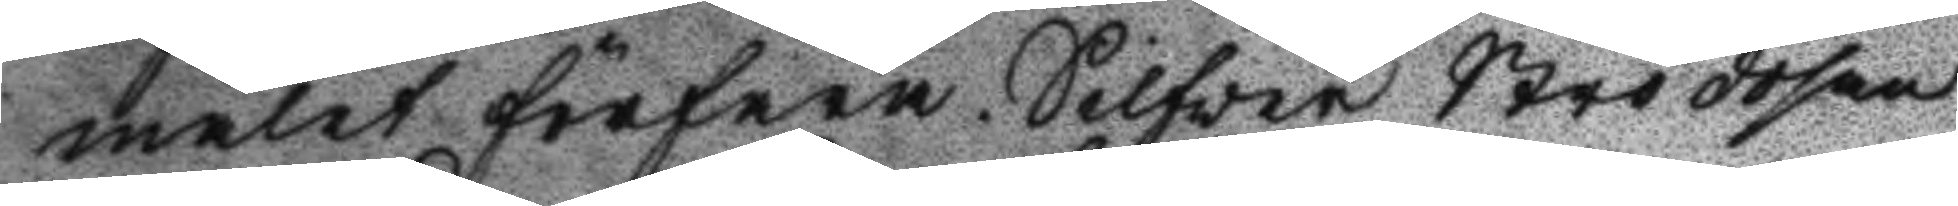målet förfara. Silfver Strödosan
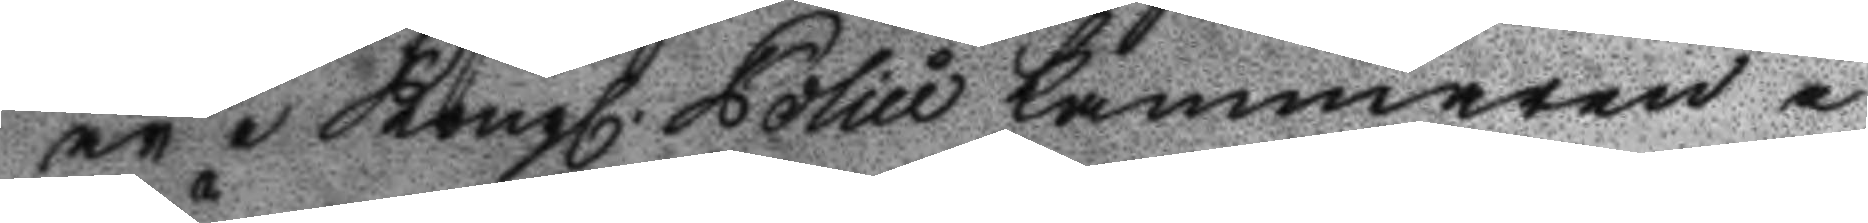är i Kongl. Polici kammaren i
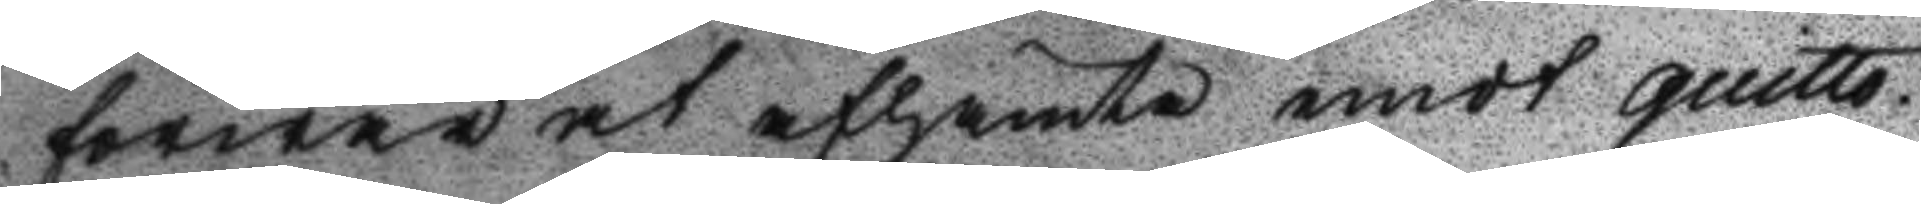förwar at afhämta emot quitto.
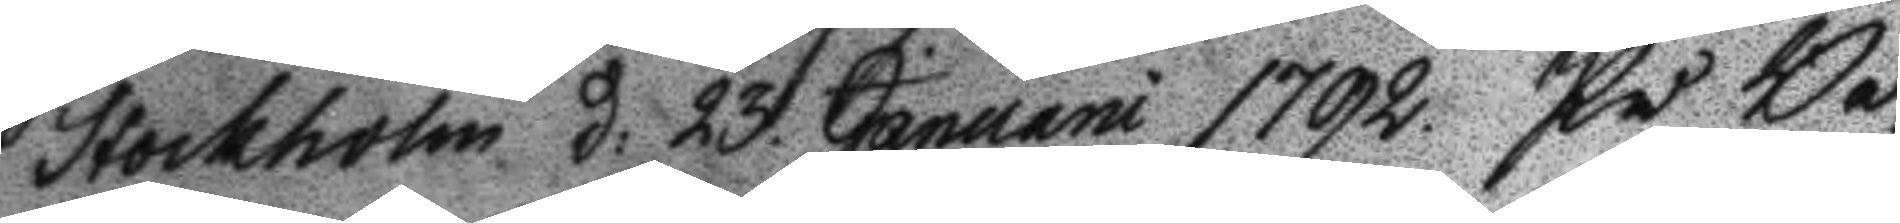Stockholm d: 23 Januari 1792. På Be¬
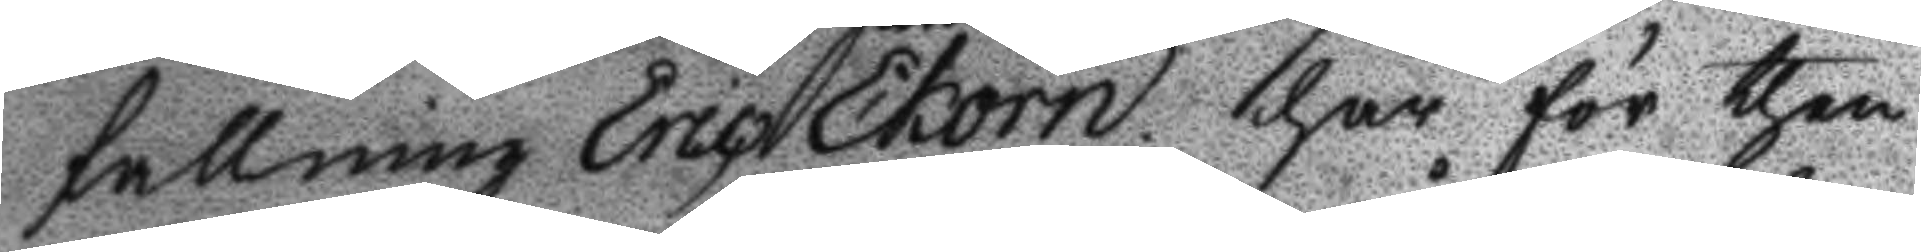fallning Eric Ekorn har för then
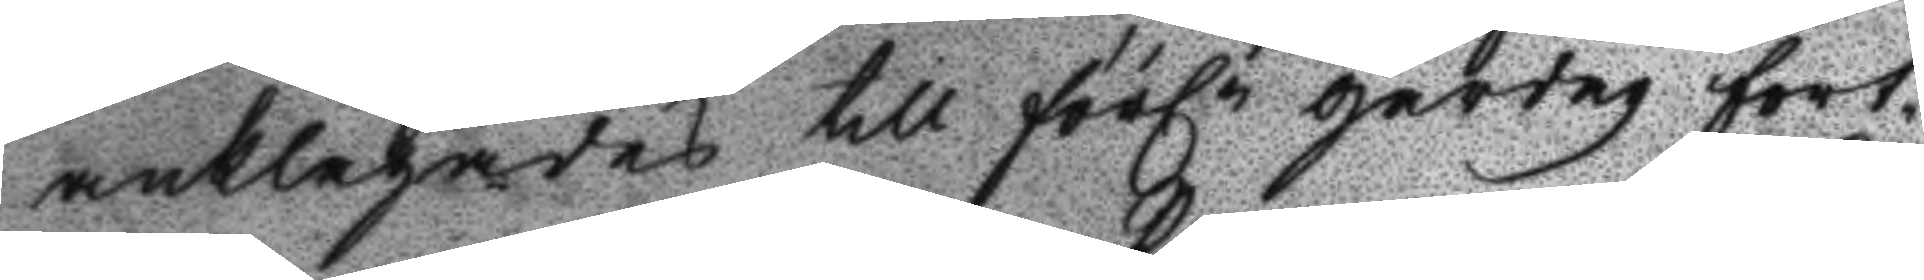anklagades till förln gårdag fort¬
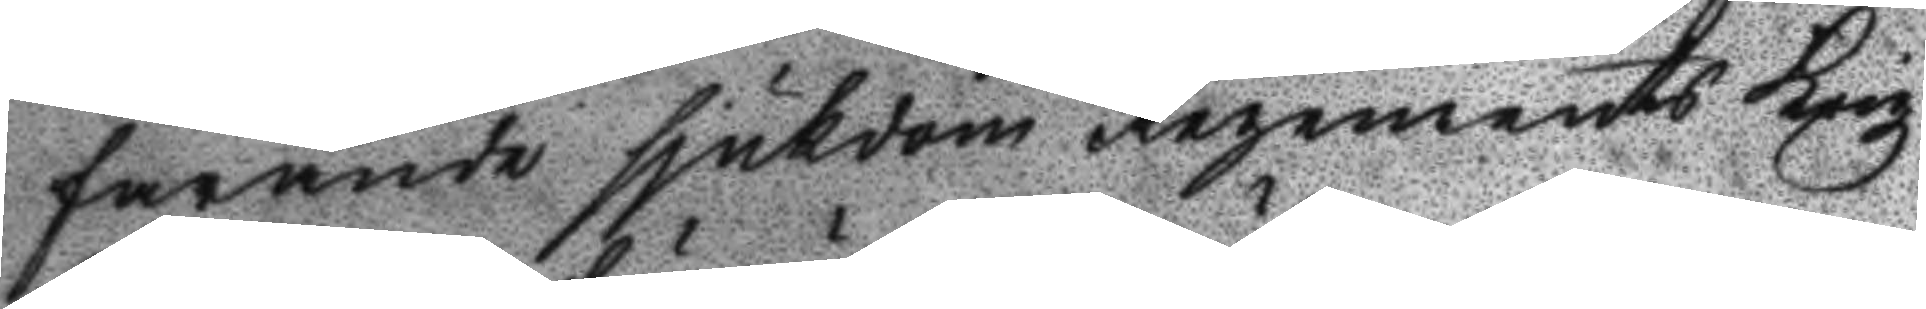farande sjukdom Regements Krigz
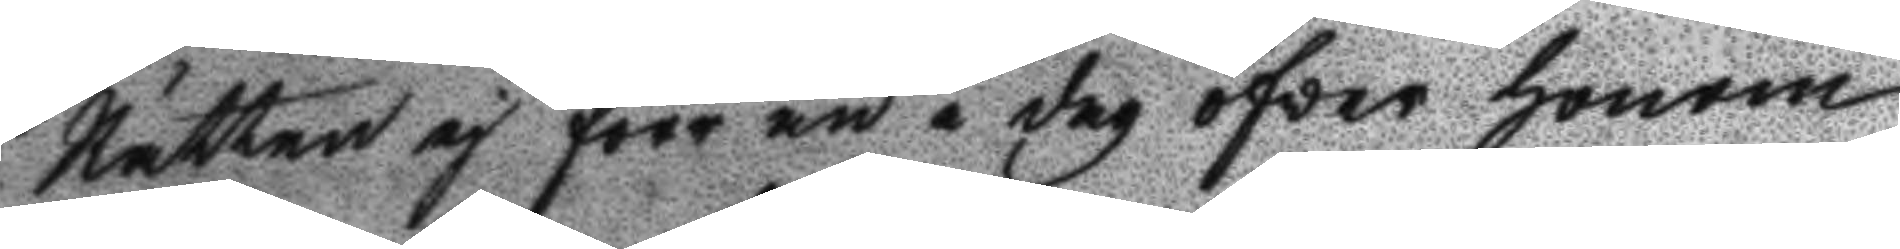Rätten ej förr än i dag öfver honom
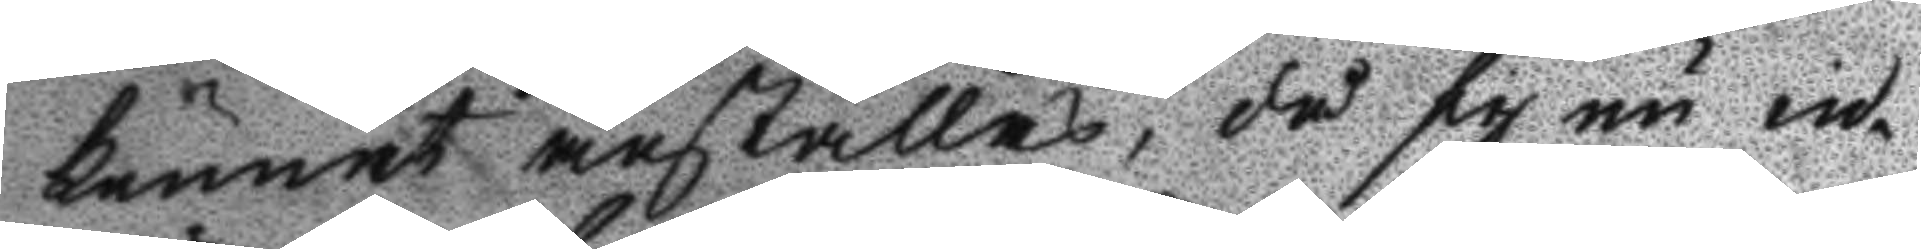kunnat anställas, då sig nu in¬
